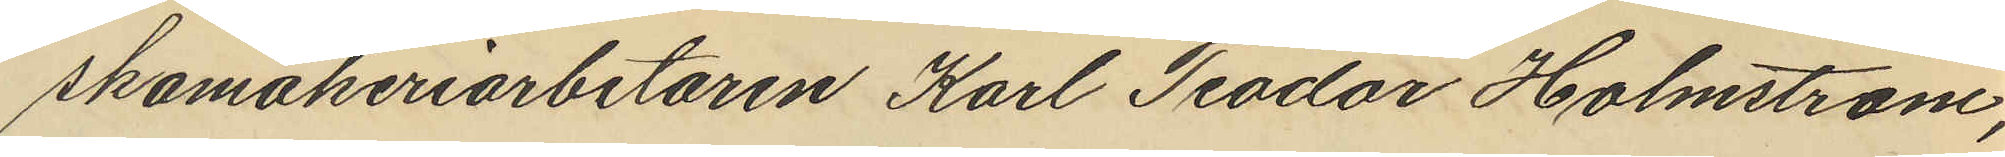skomakeriarbetaren Karl Teodor Holmström,
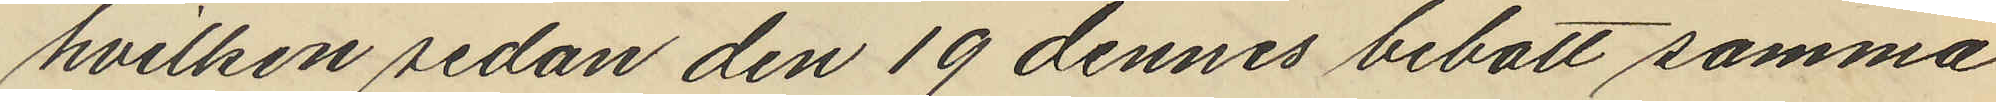hvilken sedan den 19 dennes bebott samma
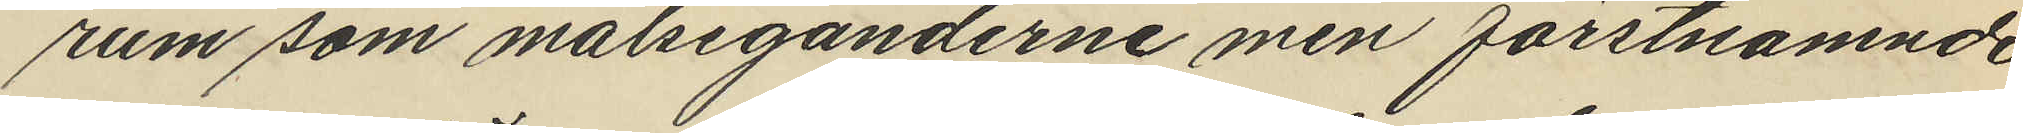rum som målseganderne men förstnämnde
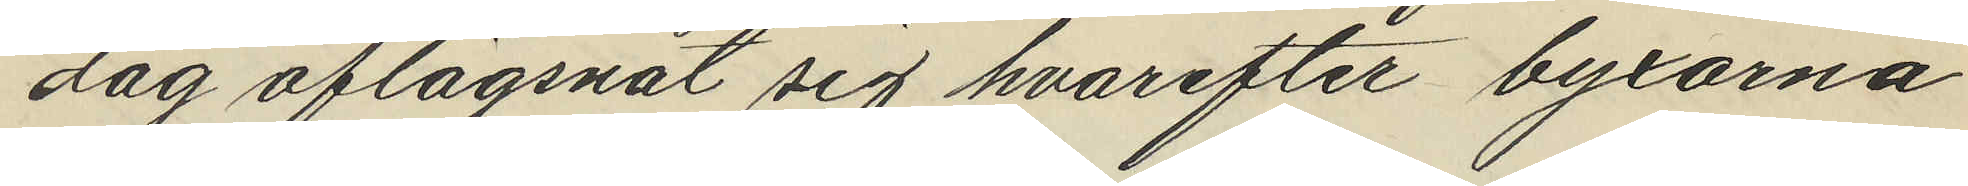dag aflägsnat sig hvarefter byxorna
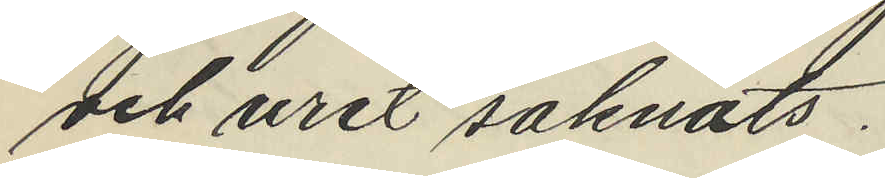och uret saknats.
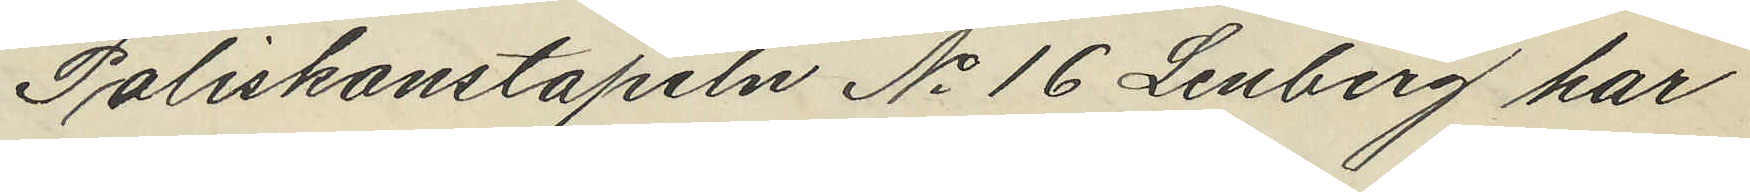Poliskonstapeln No 16 Lenberg har
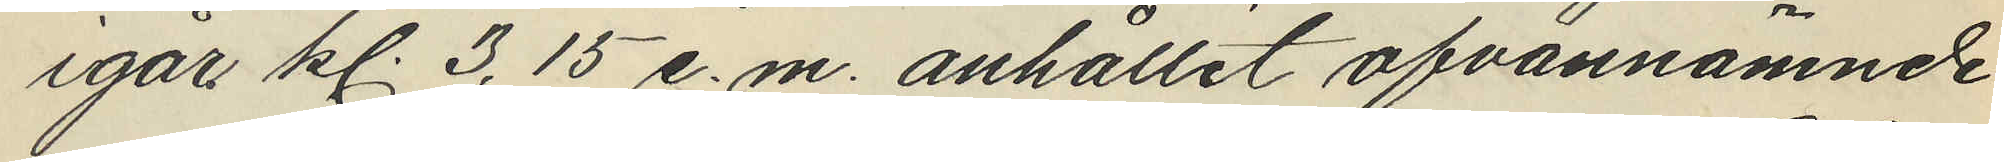igår kl. 3,15 e.m. anhållit ofvannämnde
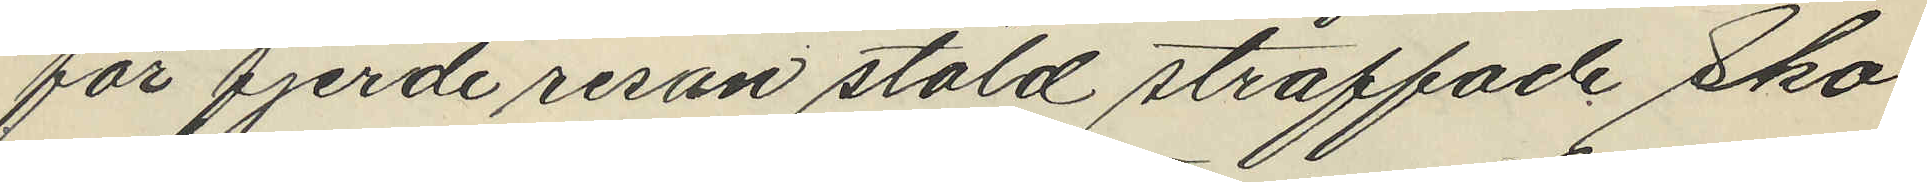för fjerde resan stöld straffade Sko¬
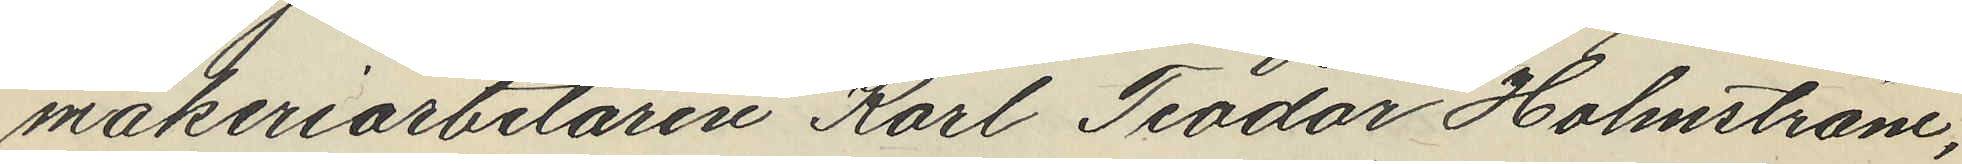makeriarbetaren Karl Teodor Holmström,
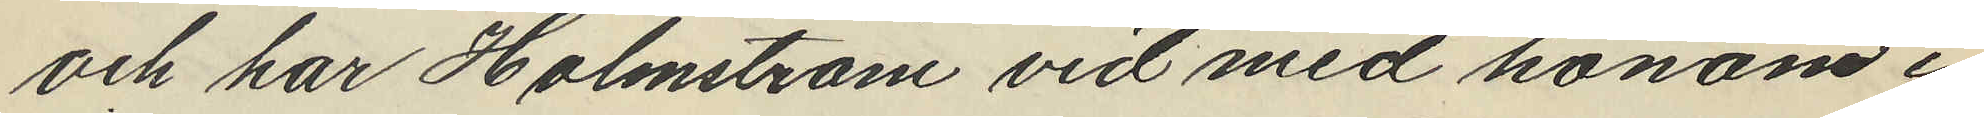och har Holmström vid med honom i
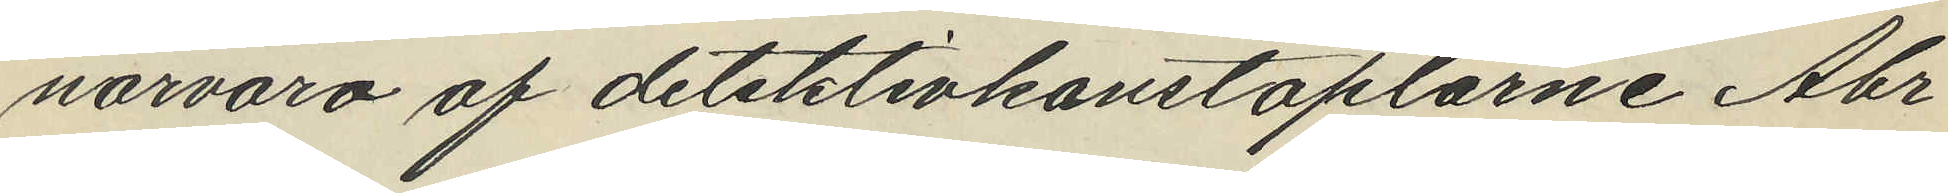närvaro af detektivkonstaplarne Abr
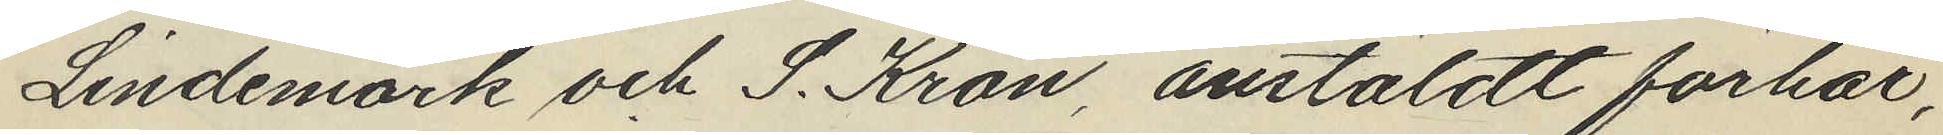Lindemark och S. Kron anstäldt förhör,
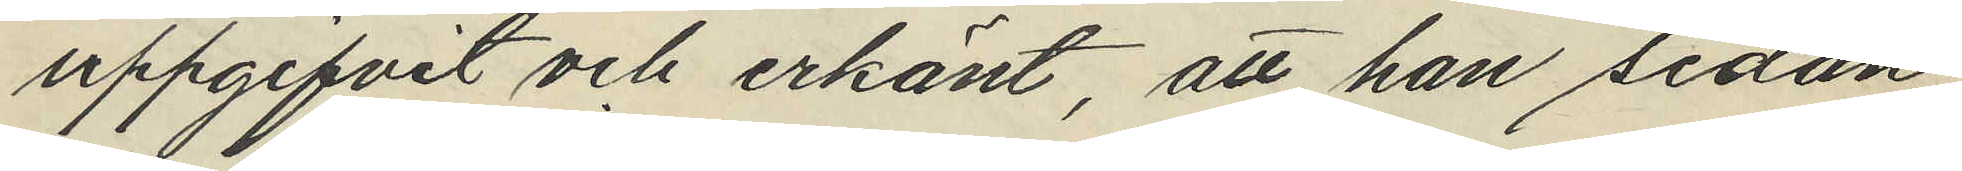uppgifvit och erkänt, att han sedan
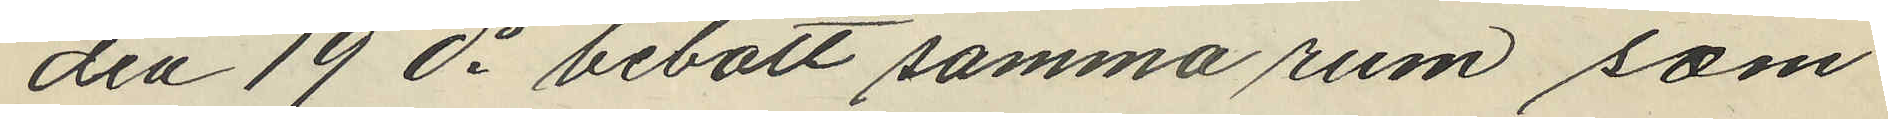den 19 ds bebott samma rum som
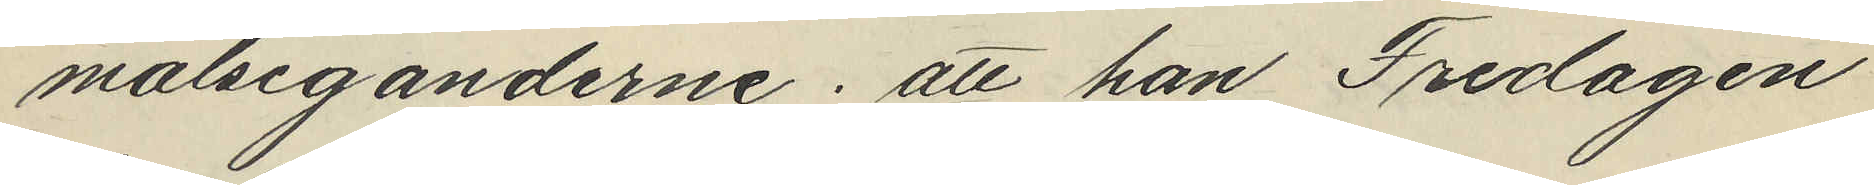målseganderne; att han Fredagen
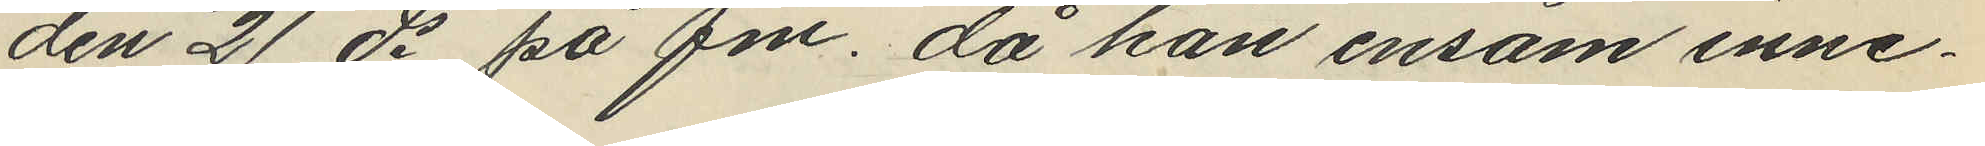den 21 ds på fm. då han ensam inne¬
